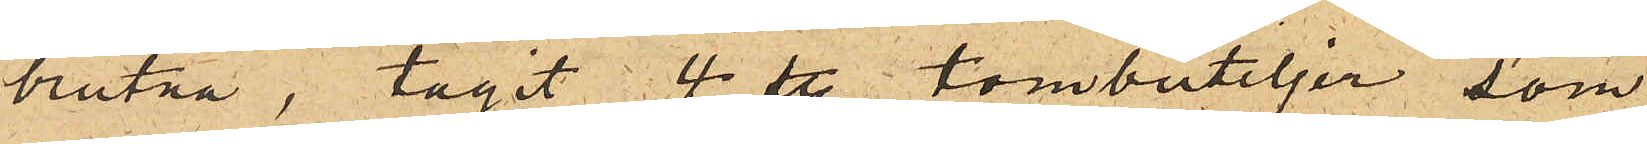brutna, tagit 4 st. tombuteljer som
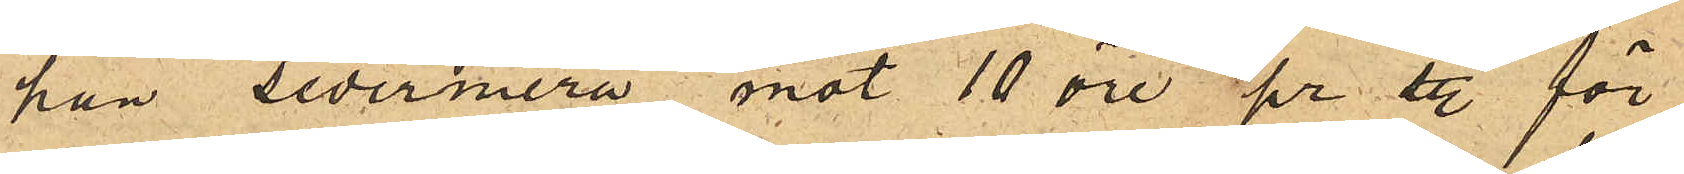han sedermera mot 10 öre pr st. för¬
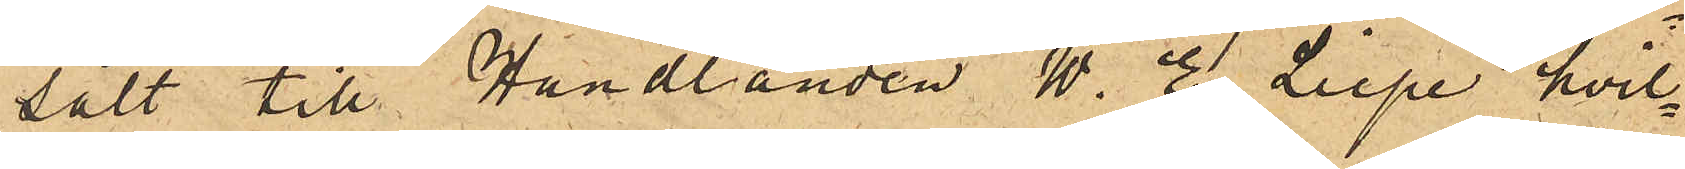sålt till Handlanden W. E. Liepe, hvil¬
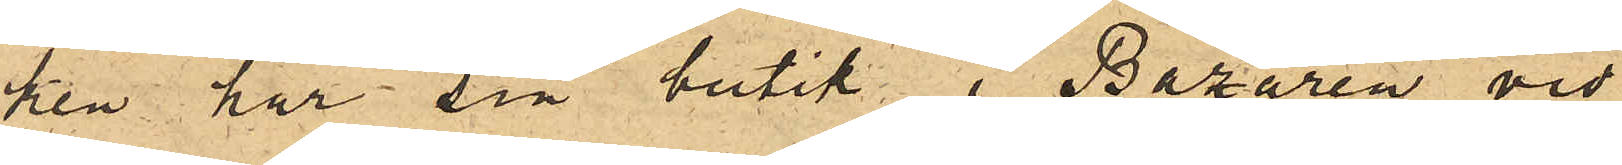ken har sin butik i Bazaren vid
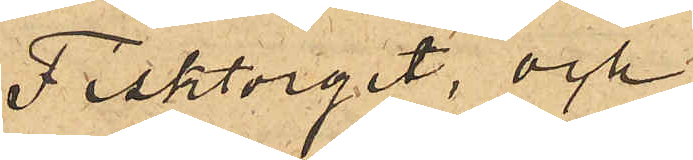Fisktorget, och
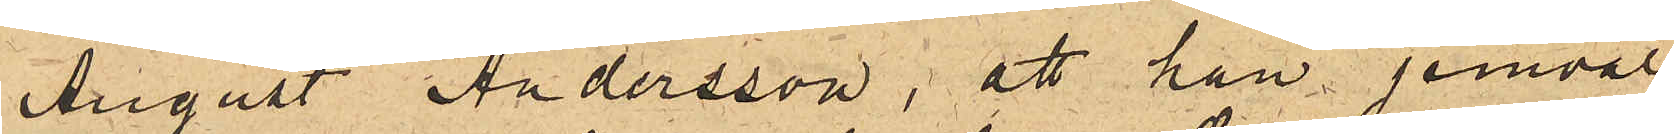August Andersson, att han jemväl
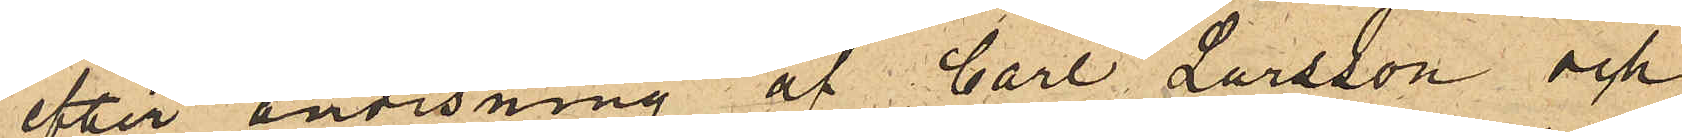efter anvisning af Carl Larsson och
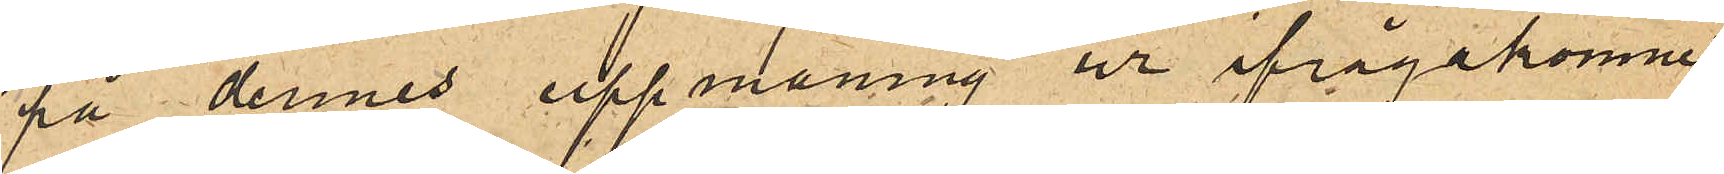på dennes uppmaning ur ifrågakomne
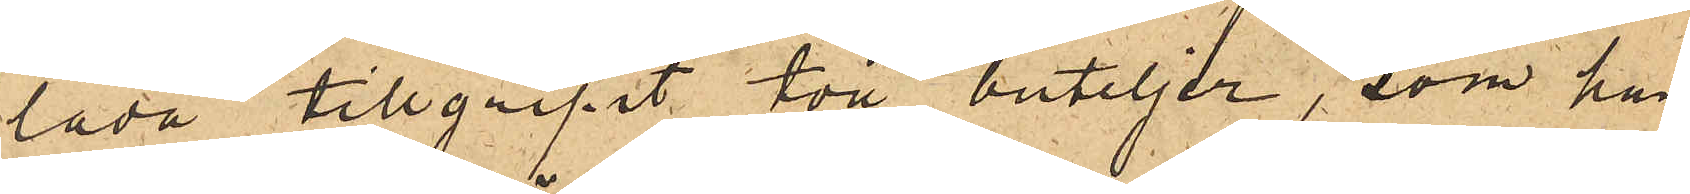låda tillgripit två buteljer, som han
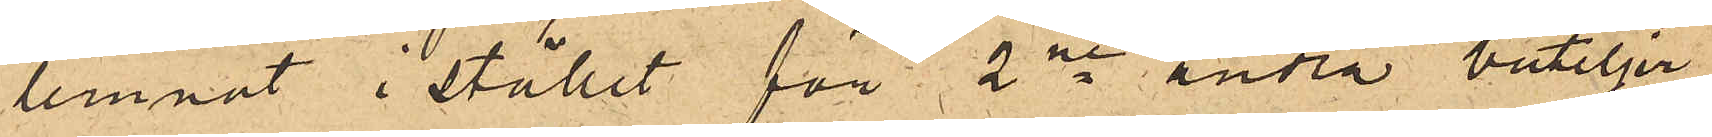lemnat i stället för 2ne andra buteljer
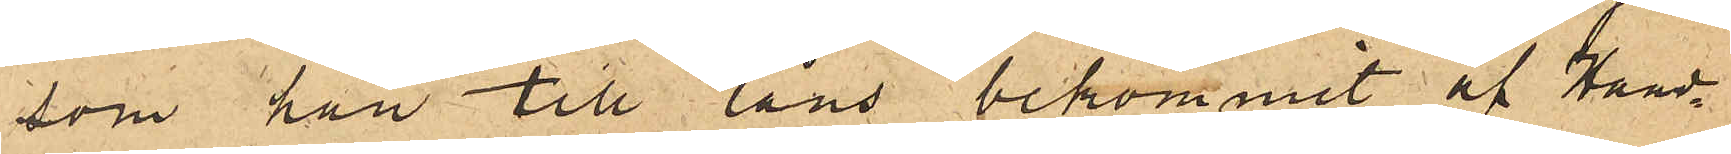som han till låns bekommit af Hand¬
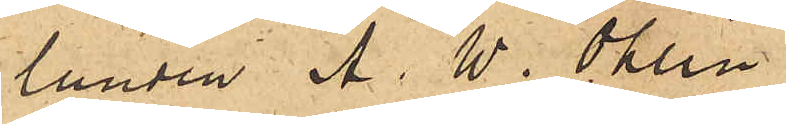landen A. W. Ohlin
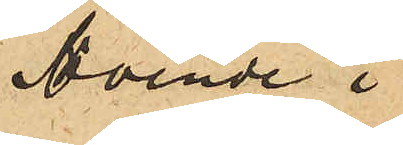boende i
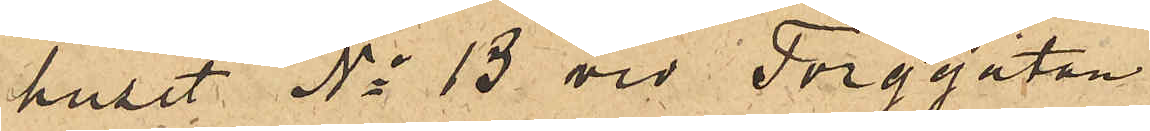huset No 13 vid Torggatan.
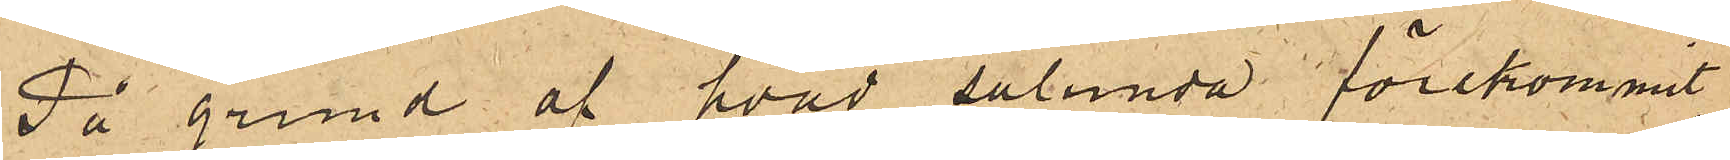På grund af hvad sålunda förekommit,
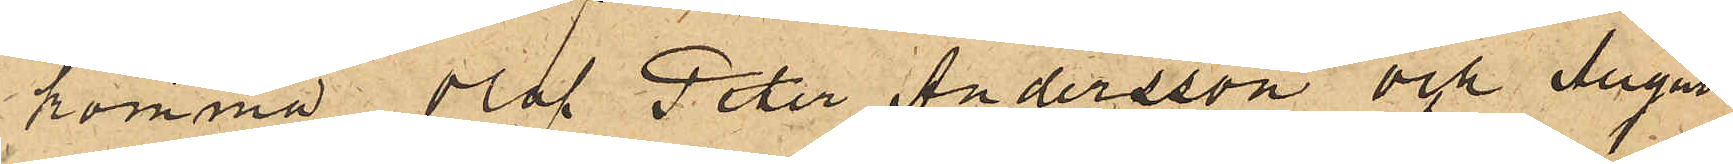komma Olof Peter Andersson och August
